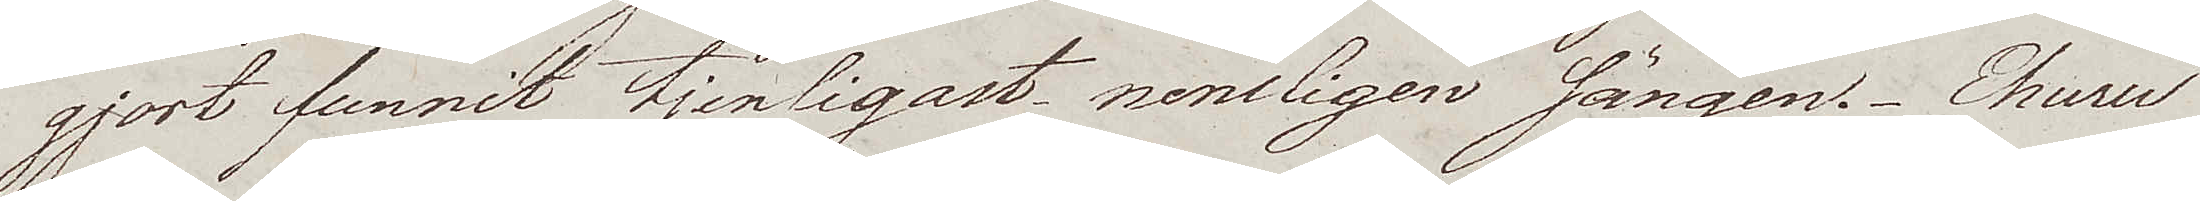gjort funnit tjenligast nemligen sängen. Ehuru
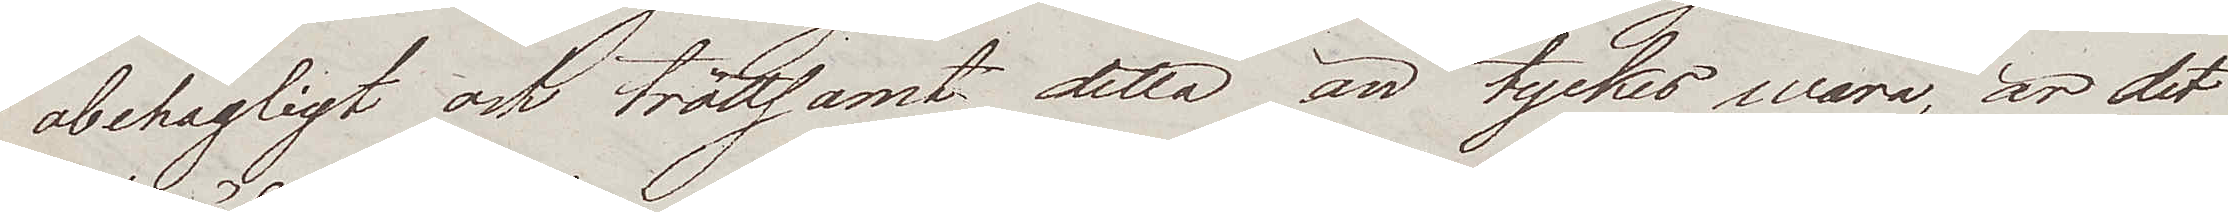obehagligt och tröttsamt detta än tyckes wara, är det
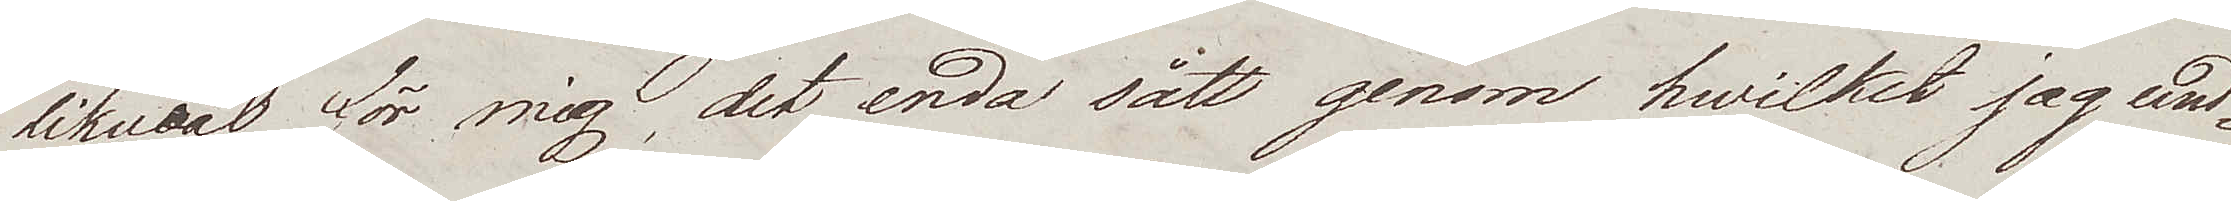likwäl för mig, det enda sätt genom hwilket jag und¬
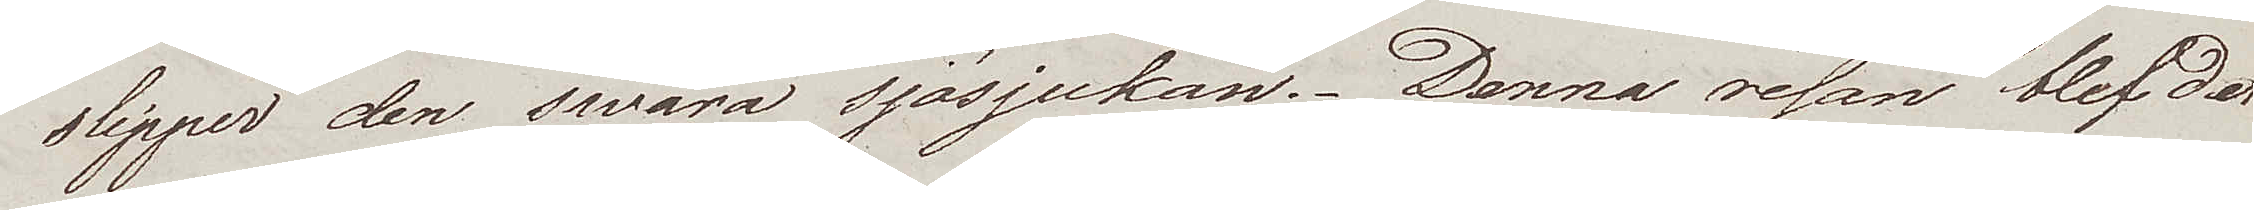slipper den swåra sjösjukan. Denna resan blef det
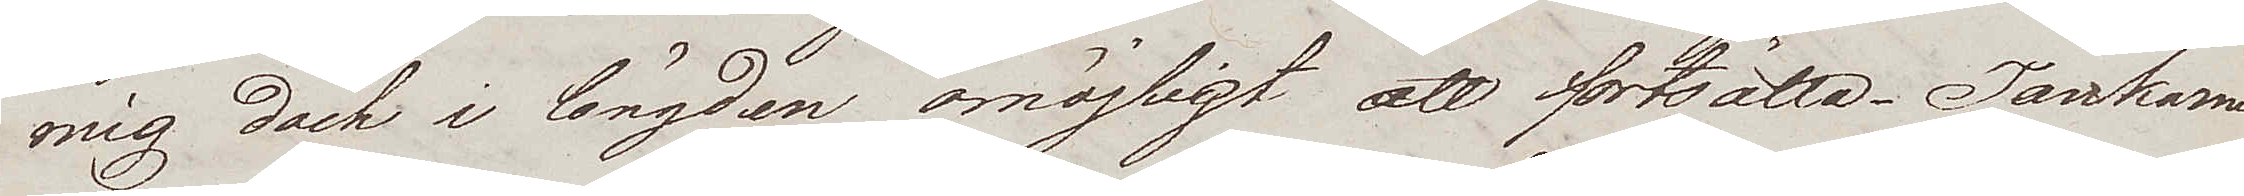mig dock i längden omöjligt att fortsätta. Tankarna
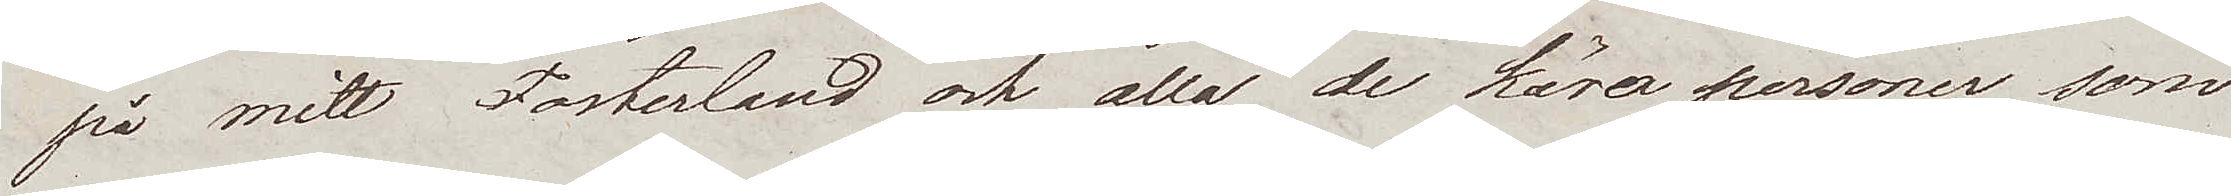på mitt Fosterland och alla de kära personer som
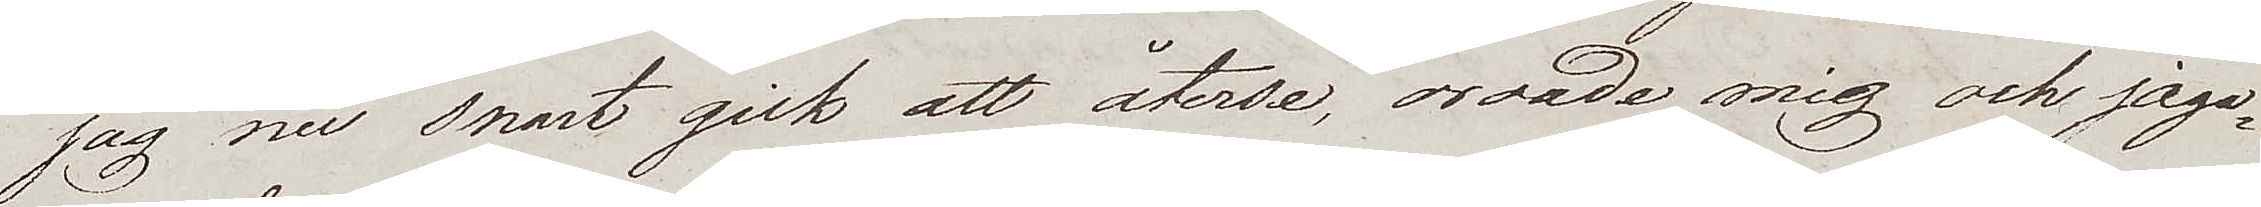jag nu snart gick att återse, oroade mig och jaga¬
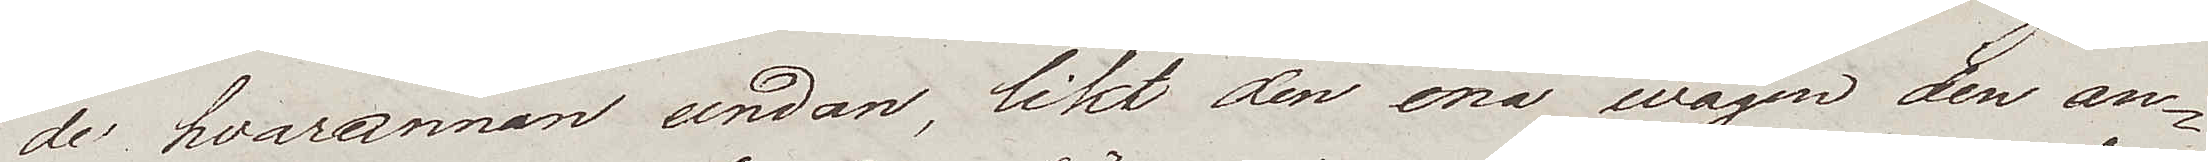de hvarannan undan, likt den ena wågen den an¬
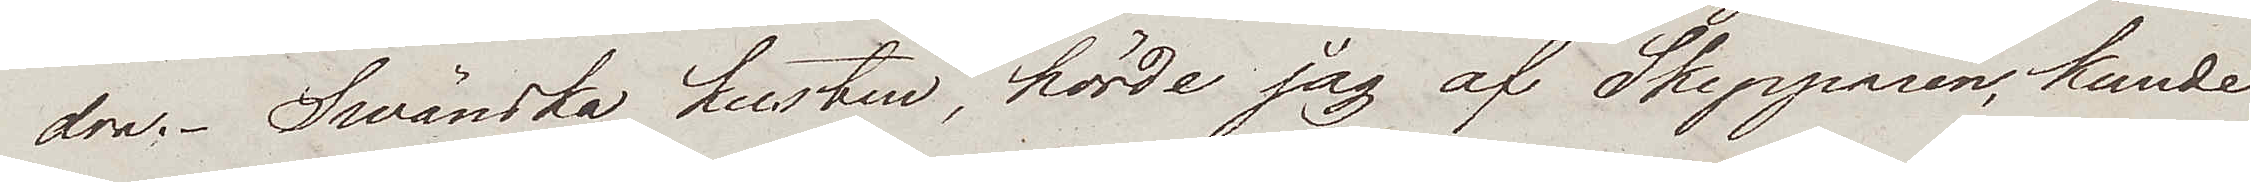dra. Swänska kusten, hörde jag af Skepparen, kunde
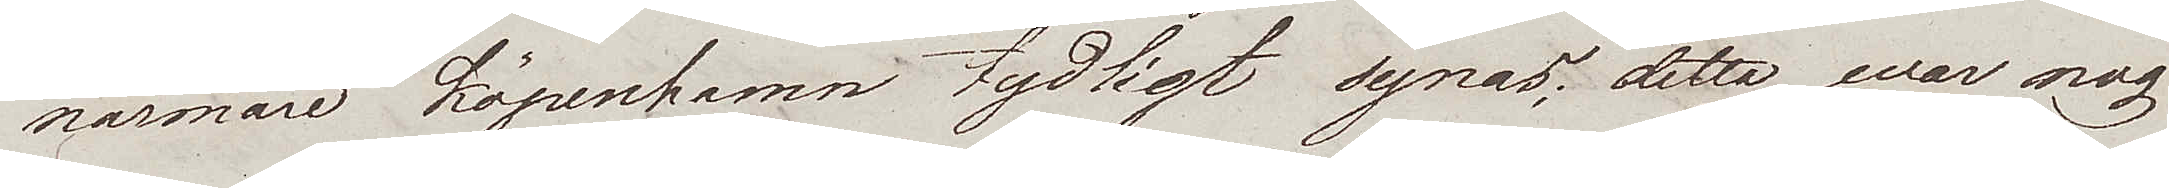närmare Köpenhamn tydlig synas; detta war nog
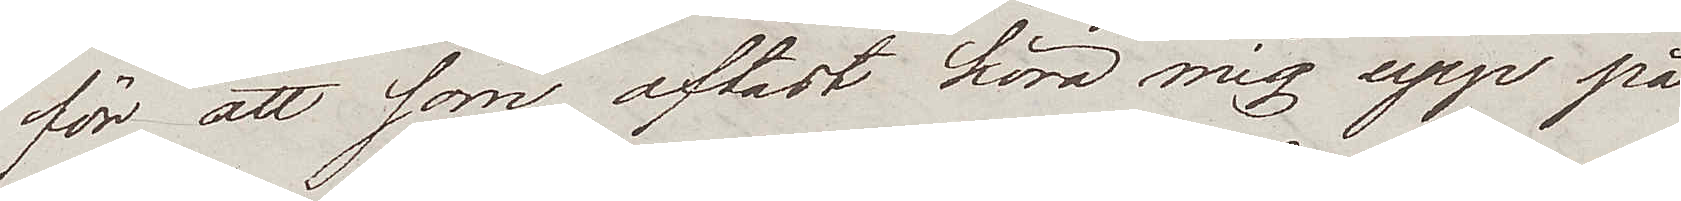för att som oftast köra mig upp på
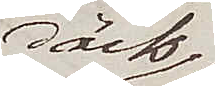däck
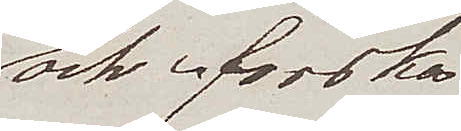och forska
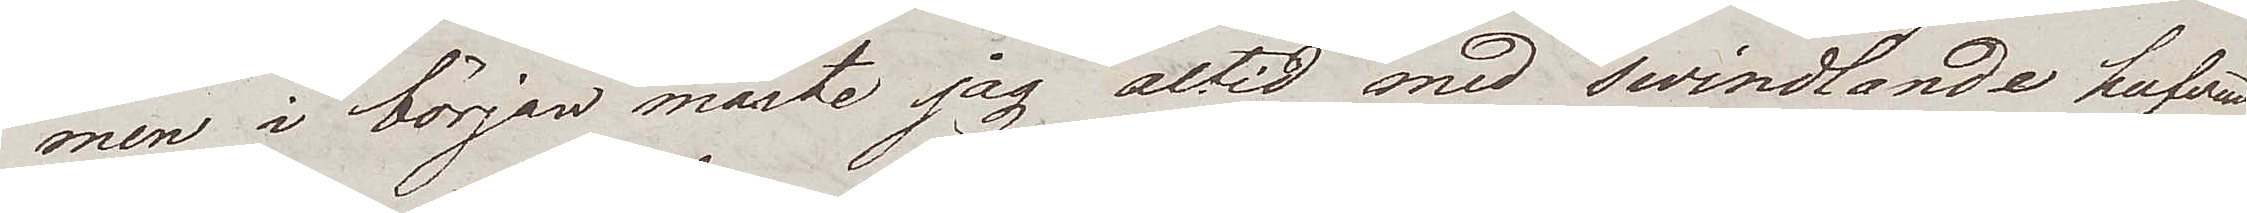men i början måste jag altid med swindlande hufvud
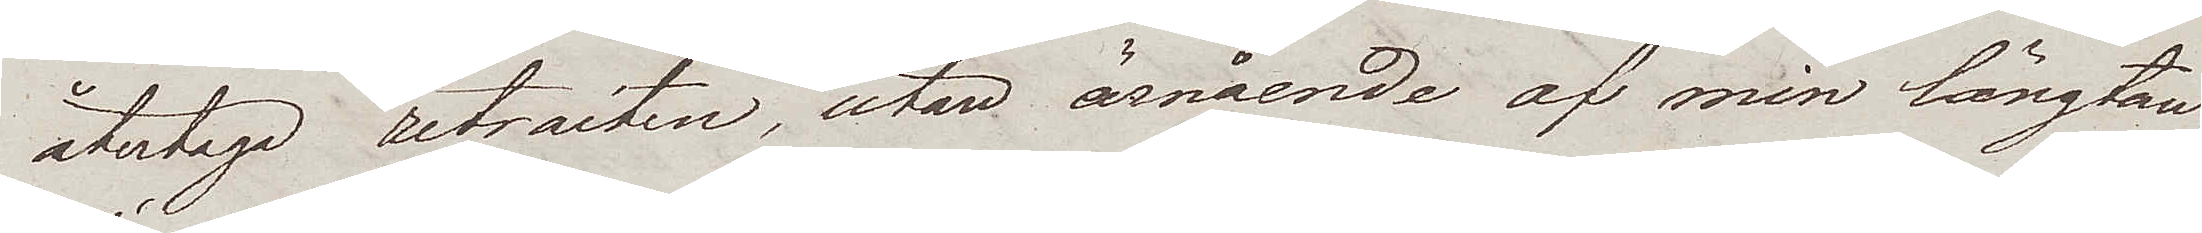återtaga retraiten, utan ärnående af min längtan.
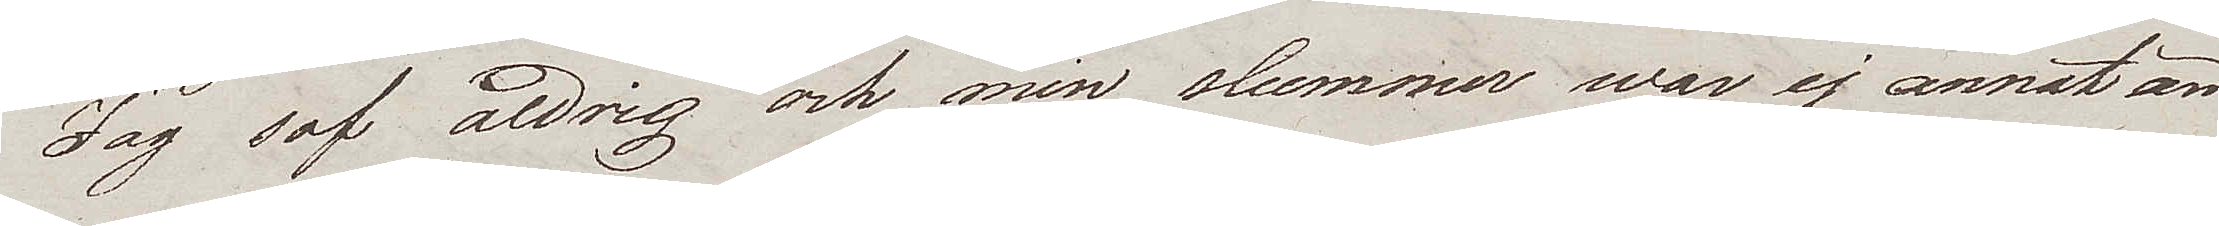Jag sof aldrig och min slummer war ej annat än
